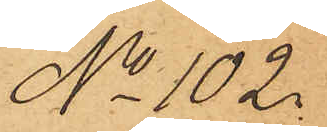No 102.
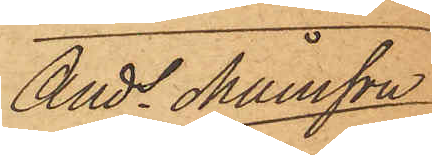Ands Månsson
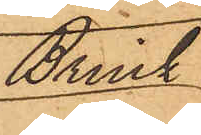Brink.
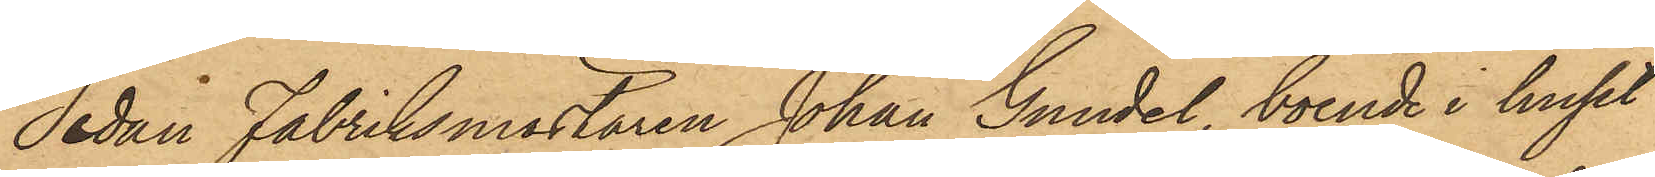Sedan Fabriksmästaren Johan Gundel, boende i huset
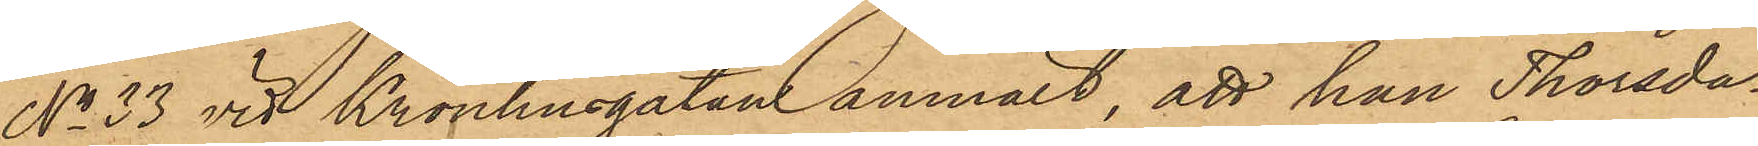No 33 vid Kronhusgatan anmält, att han Thorsda¬
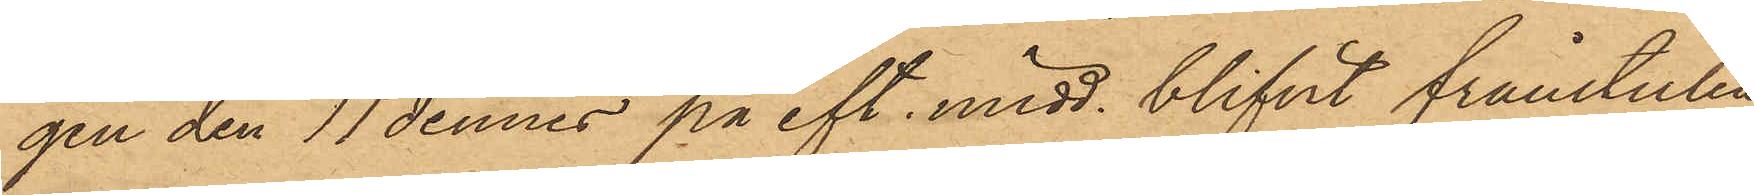gen den 11 dennes på eft. midd. blifvit frånstulen
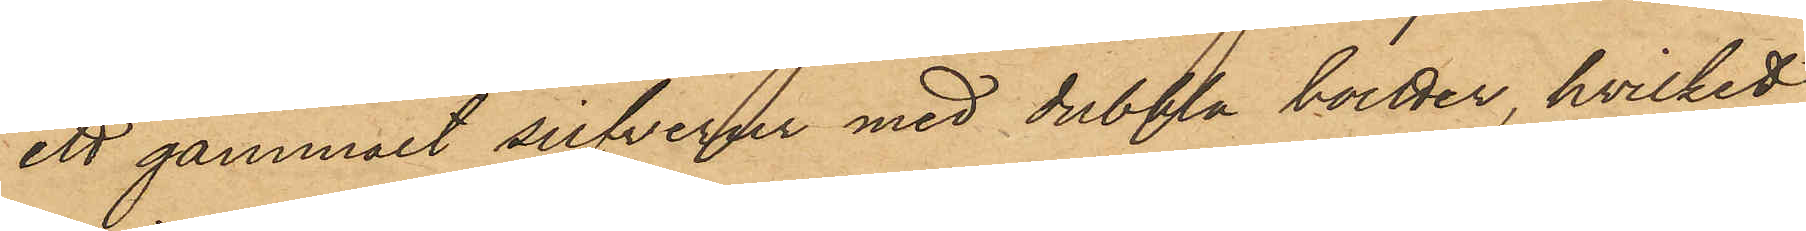ett gammart silfverur med dubbla boetter, hvilket
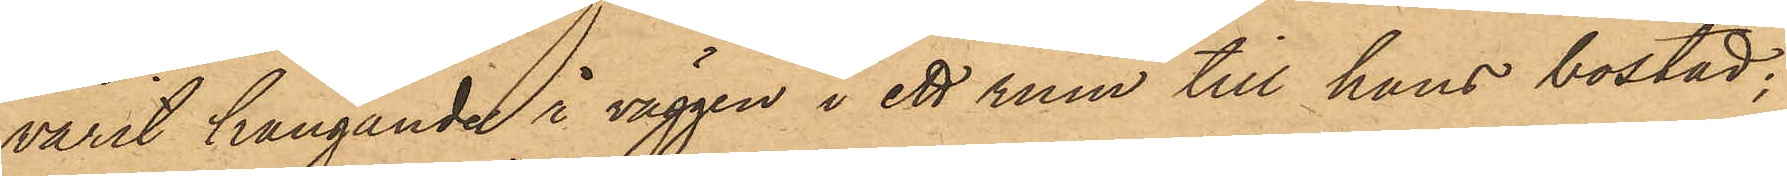varit hängande å väggen i ett rum till hans bostad;
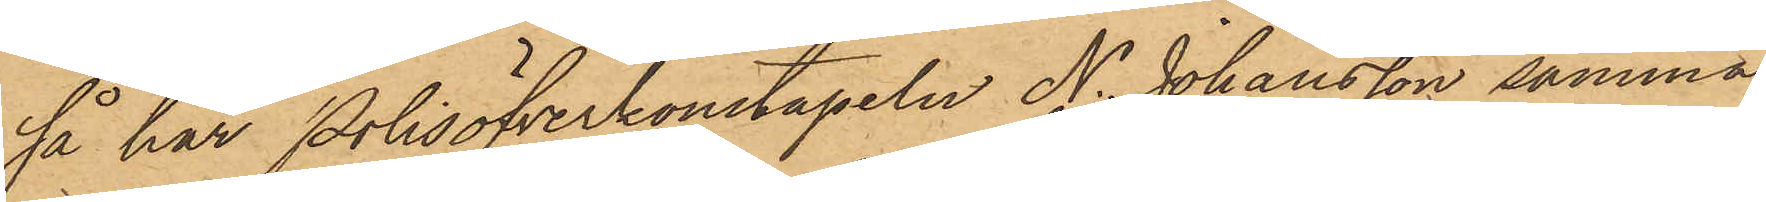så har Polisöfverkonstapeln N. Johansson samma
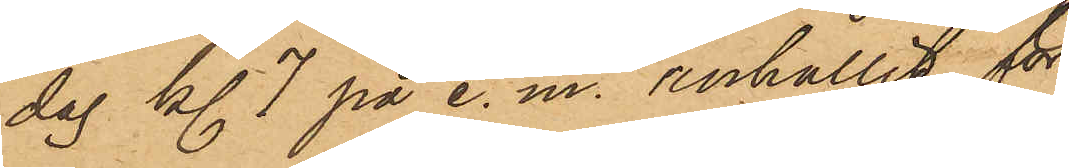dag kl. 7 på e. m. anhållit för
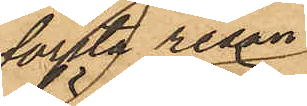första resan
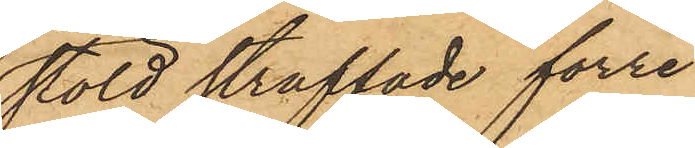stöld straffade förre
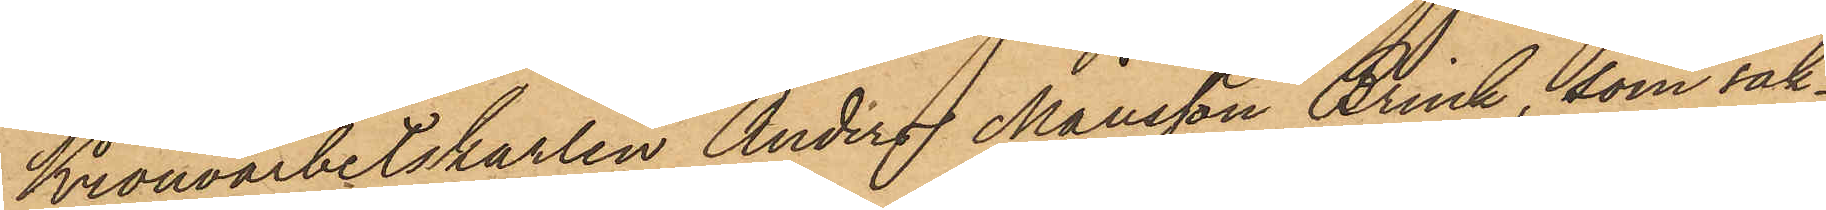Kronoarbetskarlen Anders Månsson Brink, som sak¬
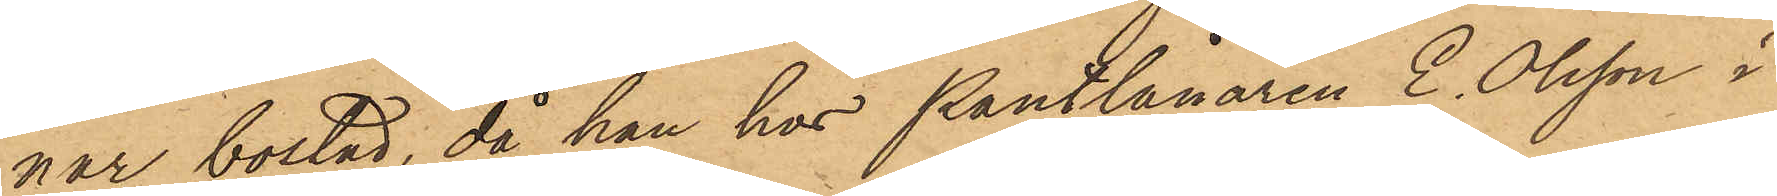nar bostad, då han hos Pantlånaren E. Olsson i
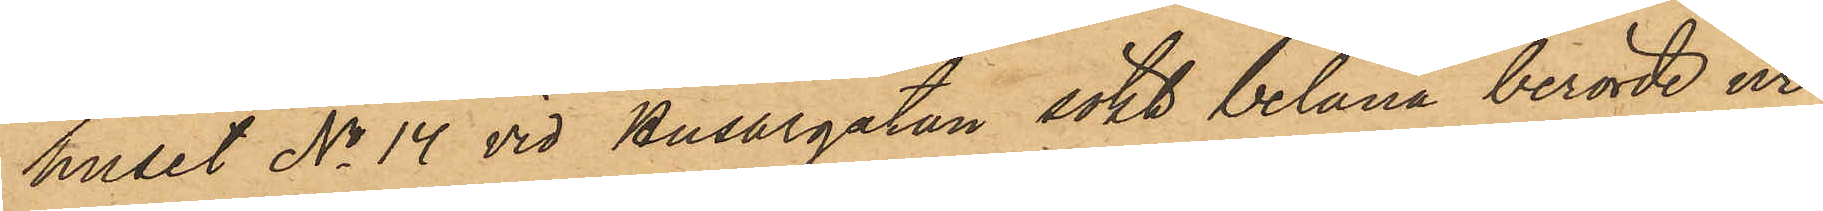huset No 14 vid Husargatan sökt belåna berörde ur;
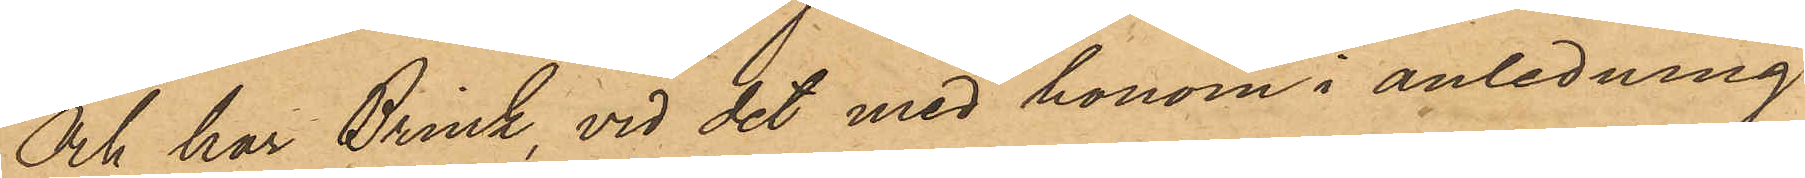och har Brink, vid det med honom i anledning
